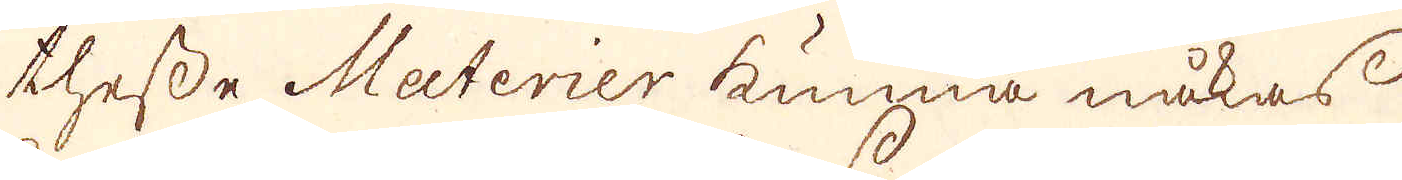thesse Materier kunna måkas
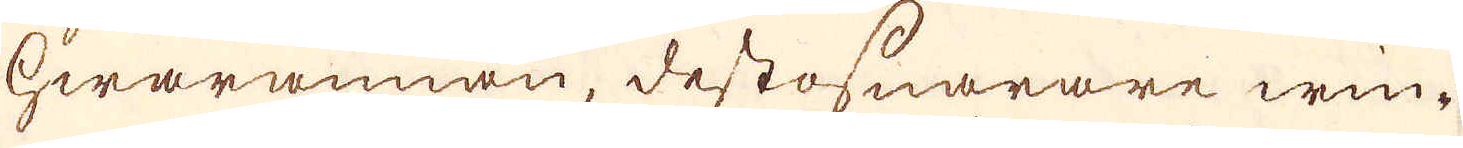hwarannan, destosnarare win-
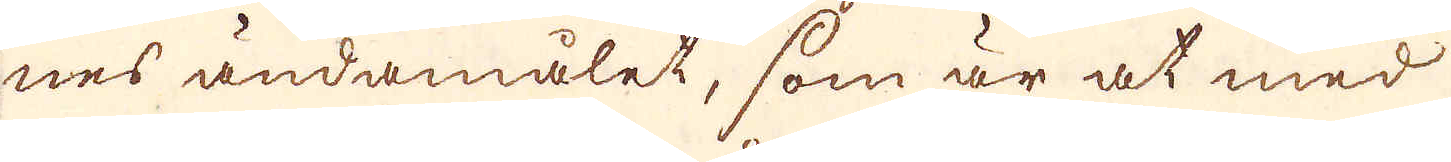nes ändamålet, som är at med
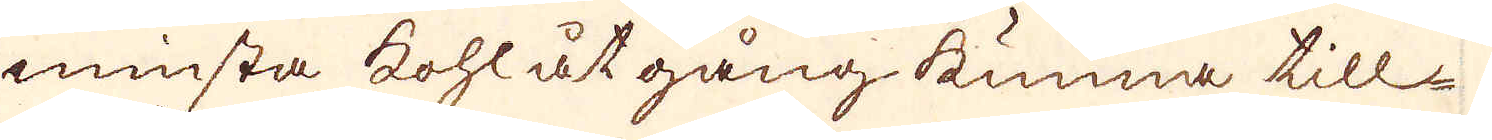minsta kohl åtgång kunna till-
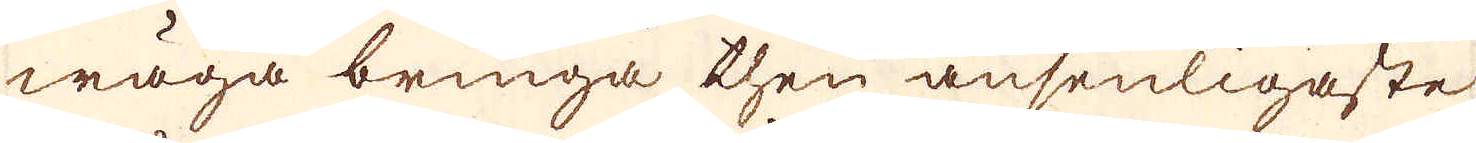wäga bringa then ansenligaste
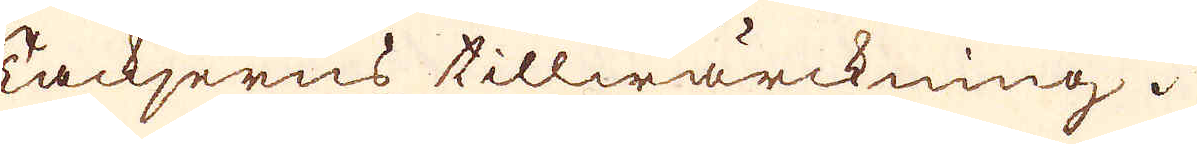Tackjerns tillwärckning.
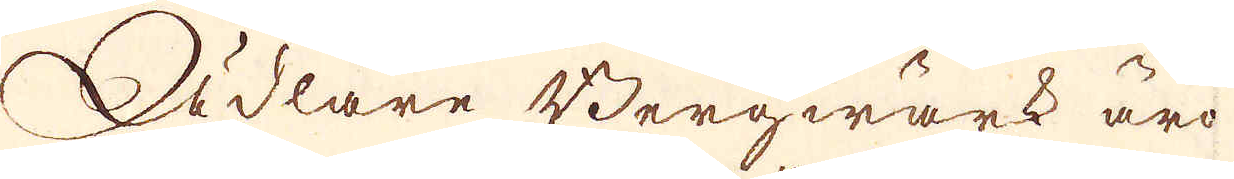Ädlare Bergwärk äro
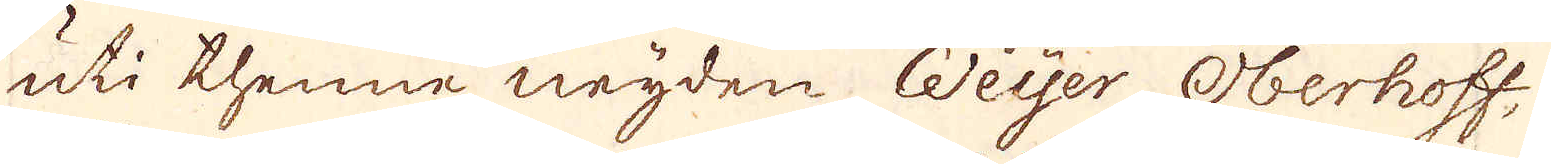uti thenne neyden Weyer Oberhoff,
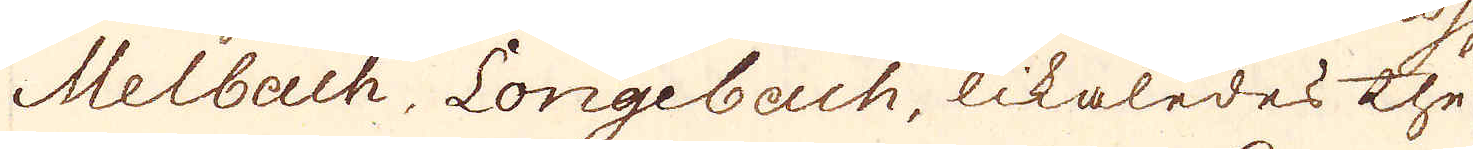Melbach, Longebach, likaledes the
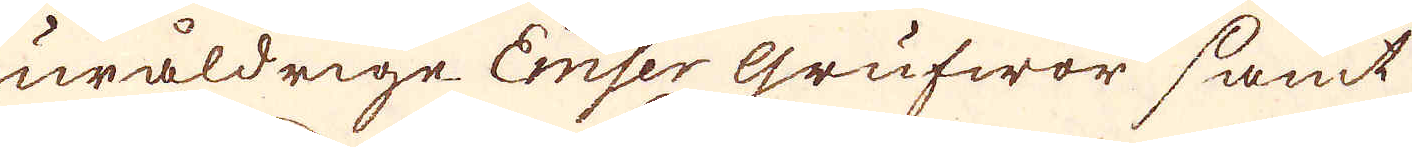uråldrige Emser grufwor samt
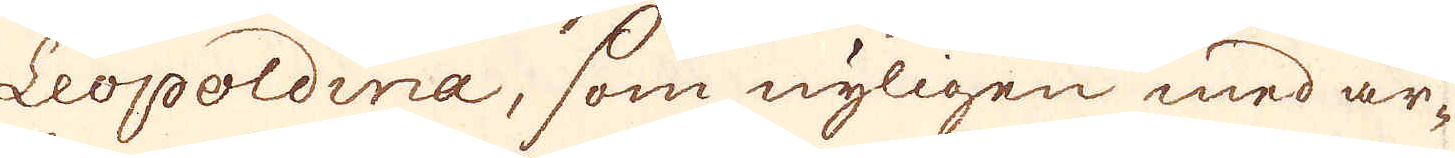Leopoldina, som nyligen med ar-
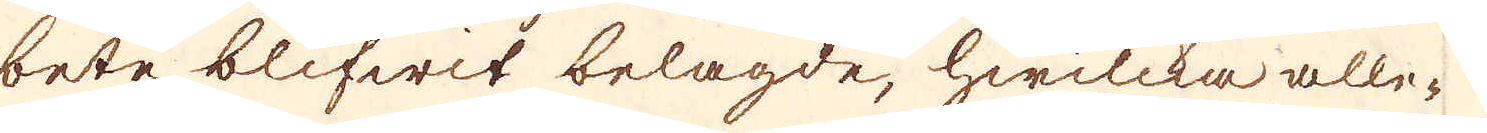bete blifwit belagde, hwilcka alle-
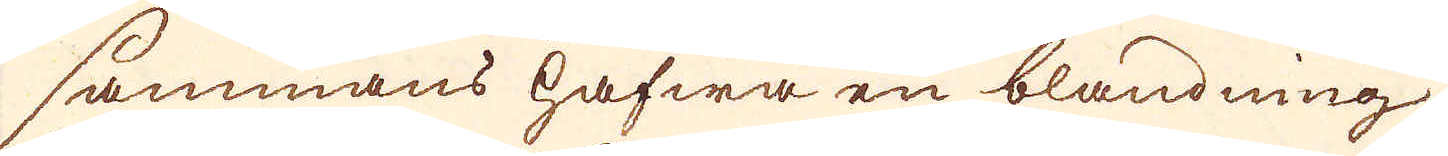sammans hafwa en blandning
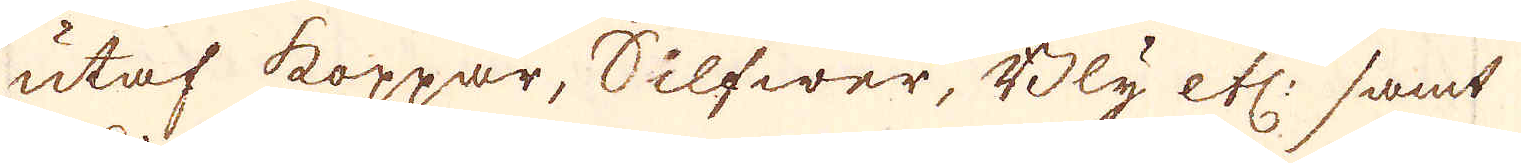utaf koppar, Silfwer, Bly etc: samt
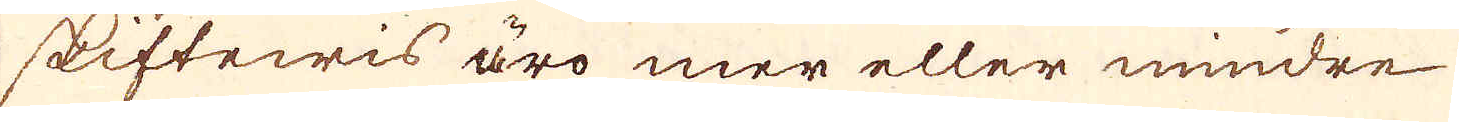skiftewis äro mer eller mindre
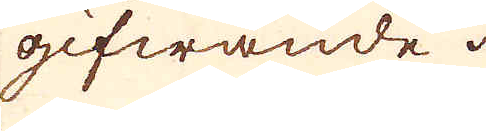gifwande.
